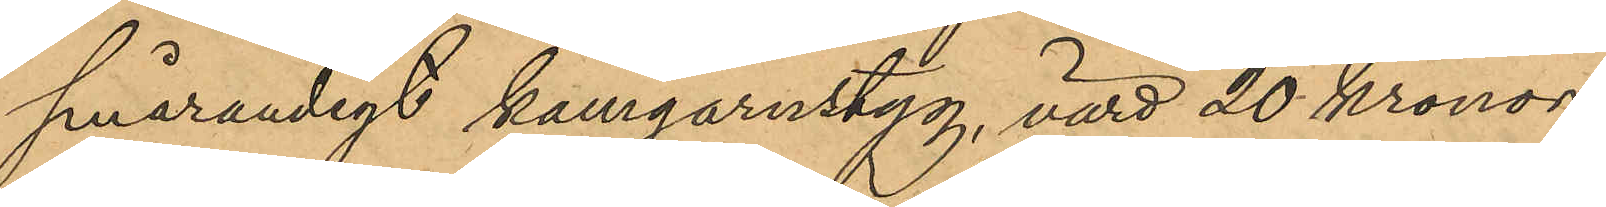smårandigt kamgarnstyg, värd 20 Kronor;
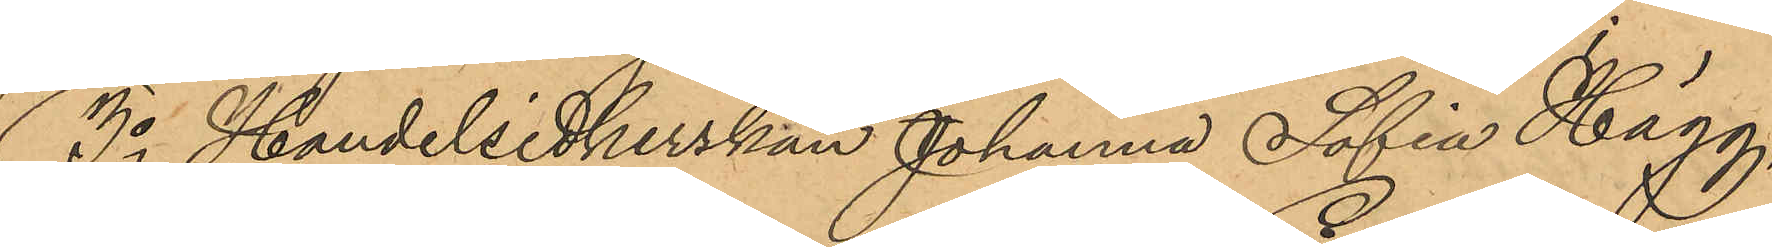3o Handelsidkerskan Johanna Sofia Hägg,
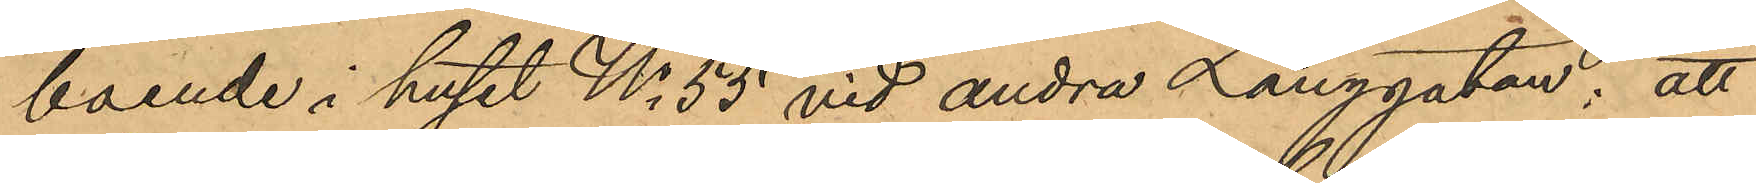boende i huset No 55 vid andra Långgatan: att
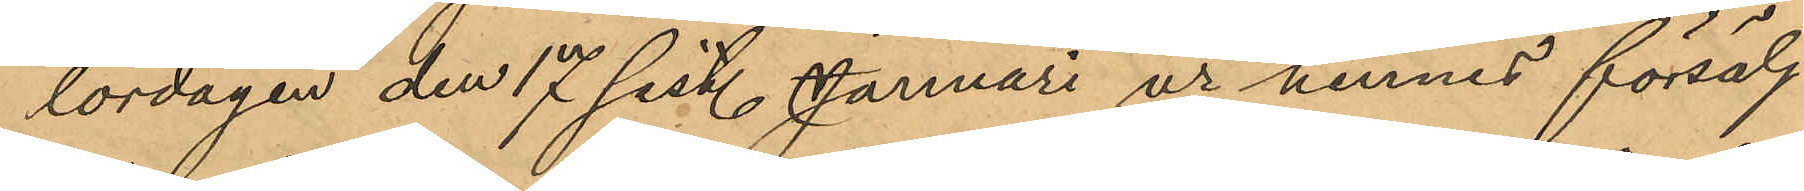lördagen den 17 sist. Januari ur hennes försälj¬
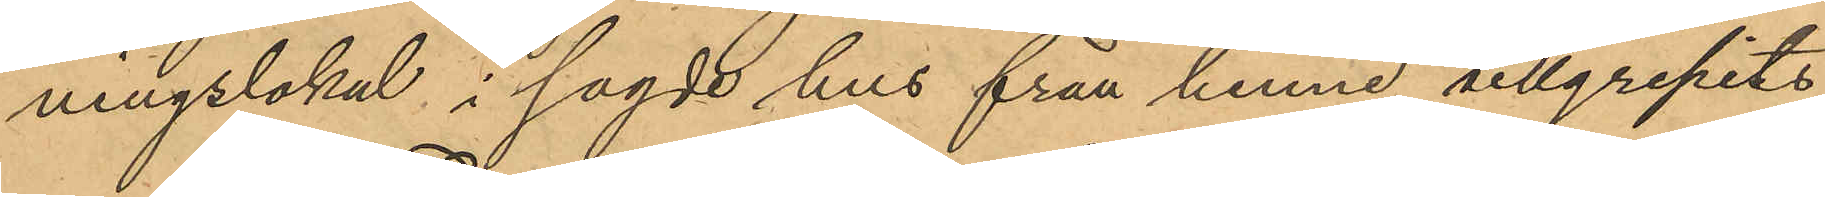ningslokal i sagde hus från henne tillgripits
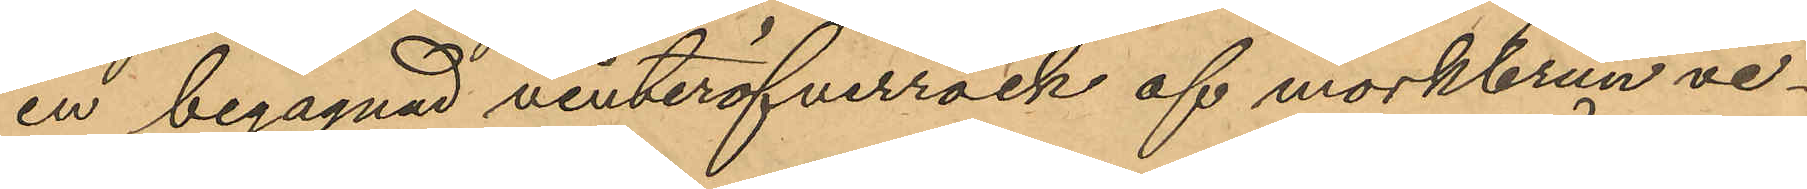en begagnad vinteröfverrock af mörkbrun ve¬
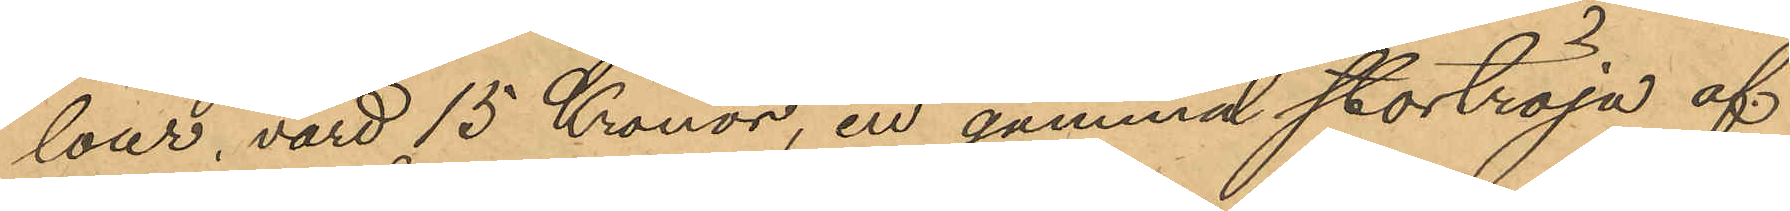lour, värd 15 Kronor, en gammal stortröja af
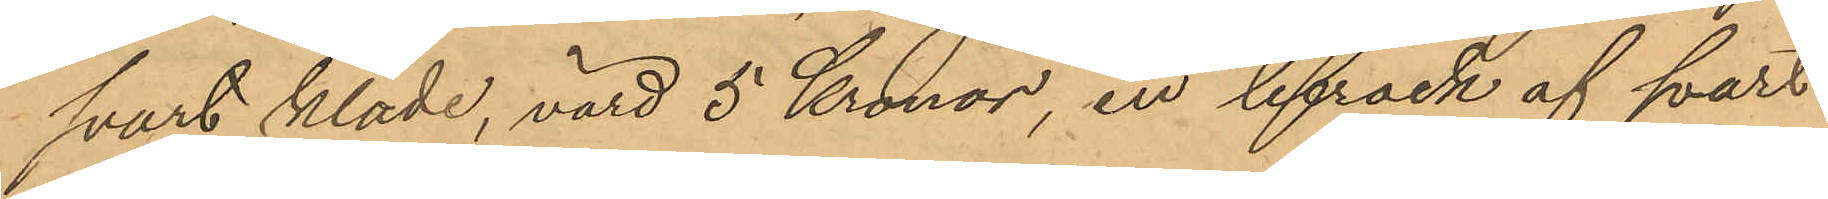svart kläde, värd 5 Kronor, en lifrock af svart
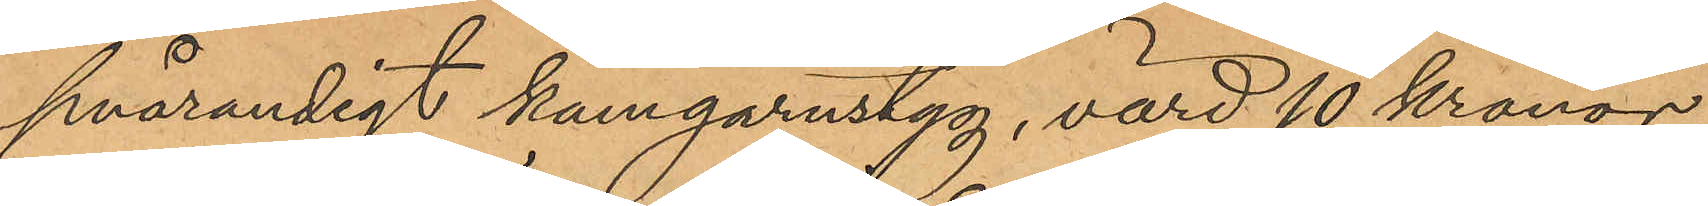smårandigt kamgarnstyg, värd 10 kronor,
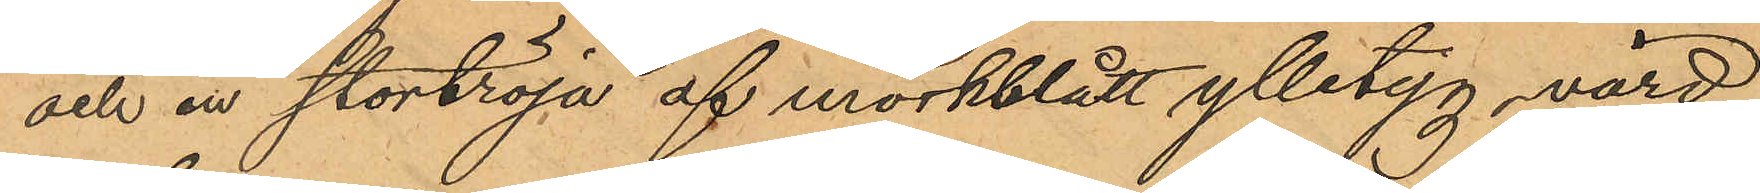och en stortröja af mörkblått ylletyg, värd
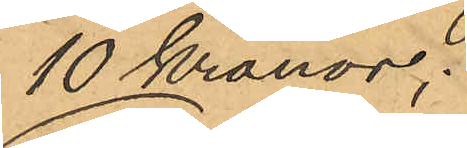10 Kronor;
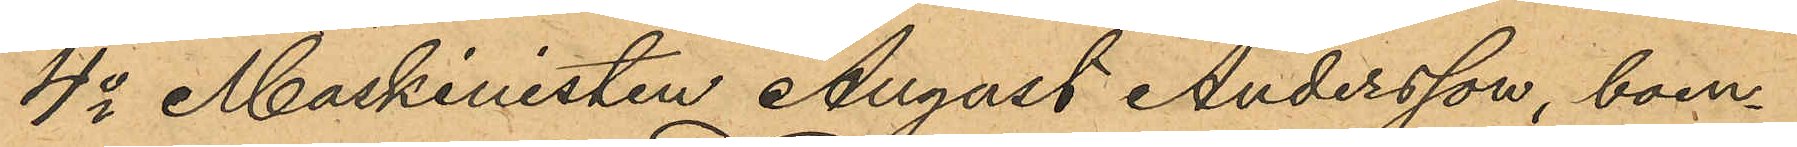4o Maskinisten August Andersson, boen¬
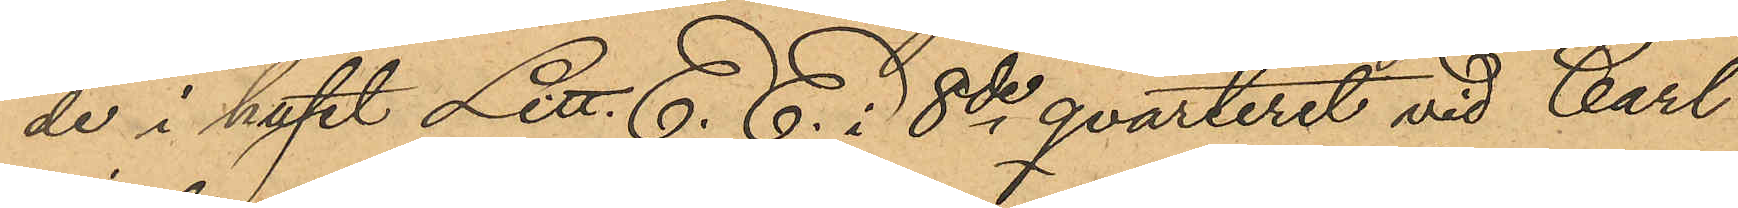de i huset Litt. E. E. 8de qvarteret vid Carl¬
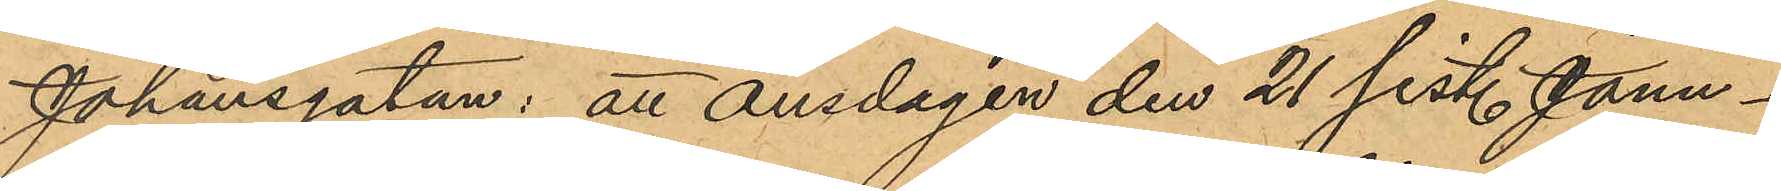Johansgatan: att onsdagen den 21 sist. Janu¬
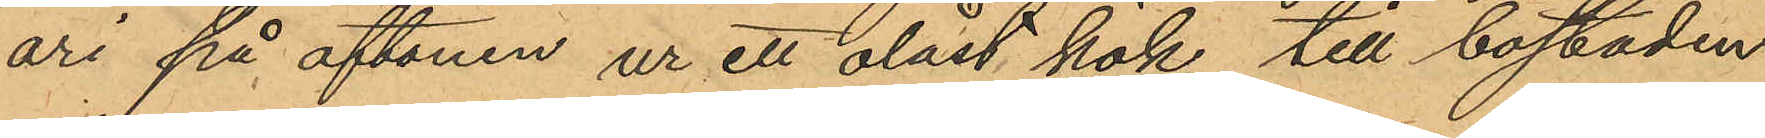ari på aftonen ur ett olåst kök till bostaden
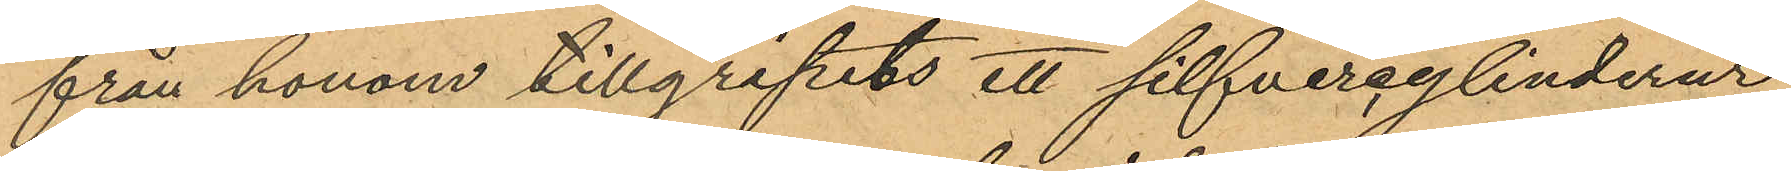från honom tillgripits ett silfvercylinderur
